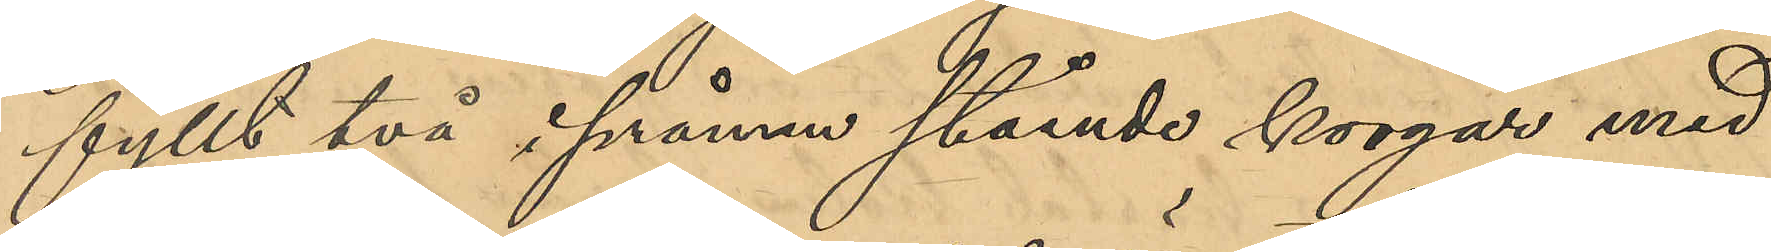fyllt två i pråmen stående korgar med
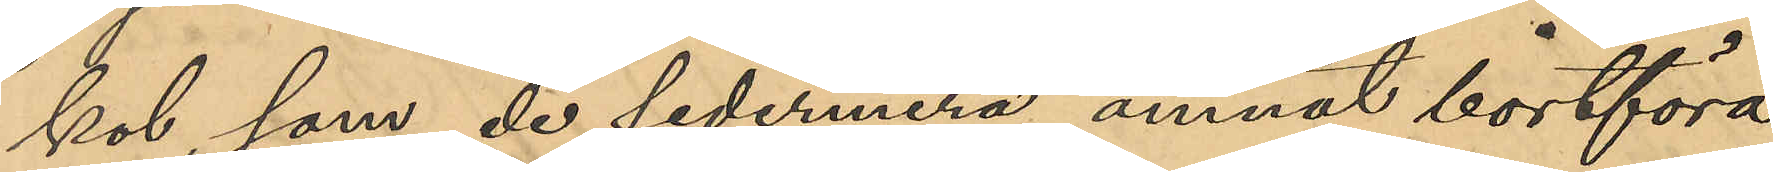kol, som de sedermera ämnat bortföra
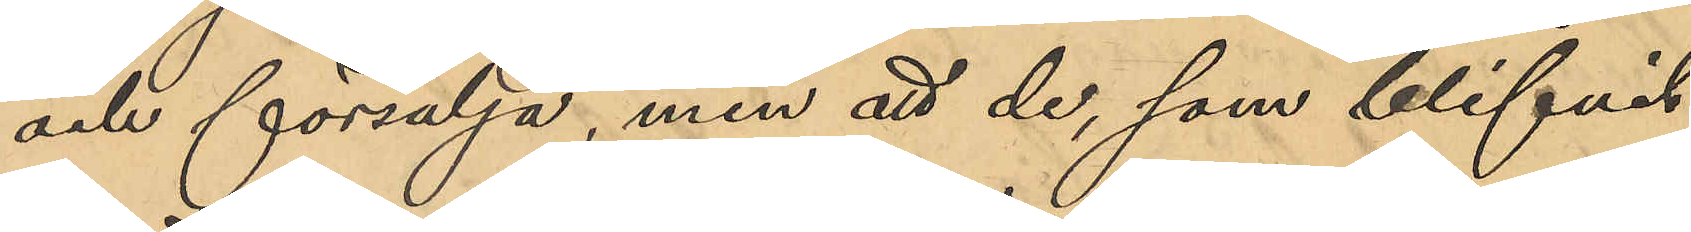och försälja, men att de, som blifvit
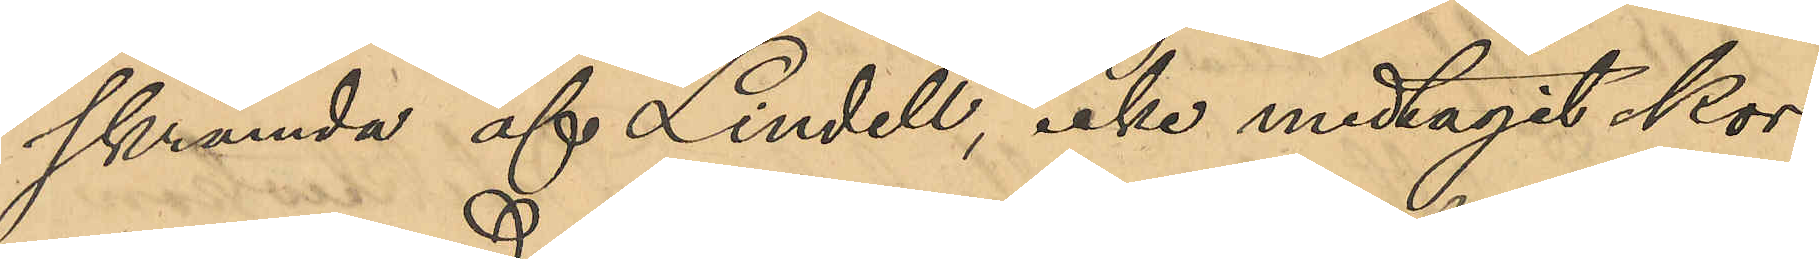skrämda af Lindell, icke medtagit kor¬
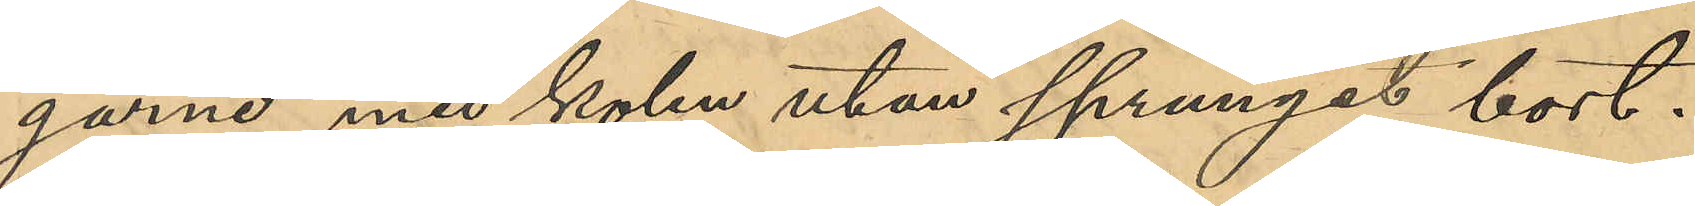garne med kolen utan sprungit bort.
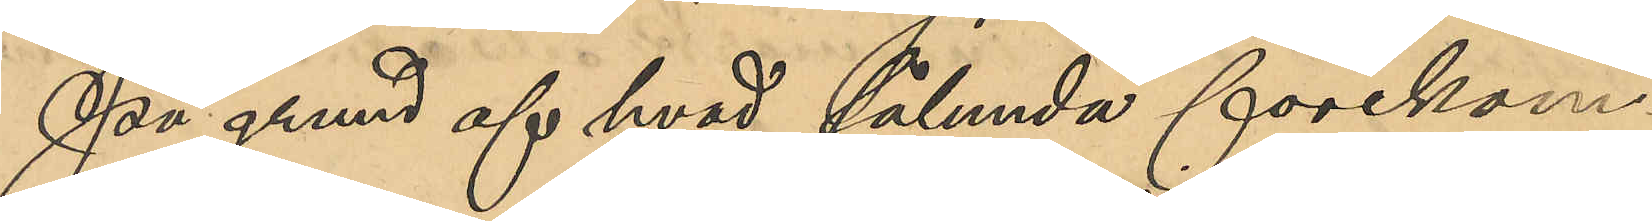På grund af hvad sålunda förekom¬
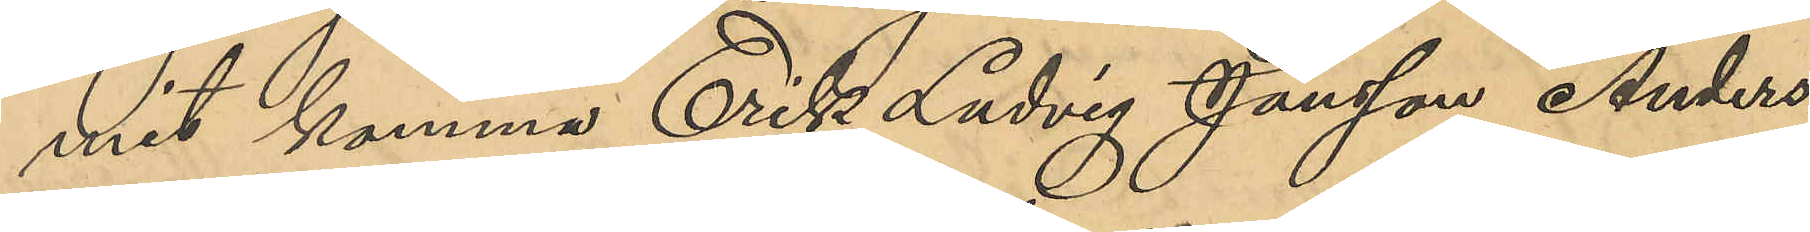mit komma Erik Ludvig Jansson Anders
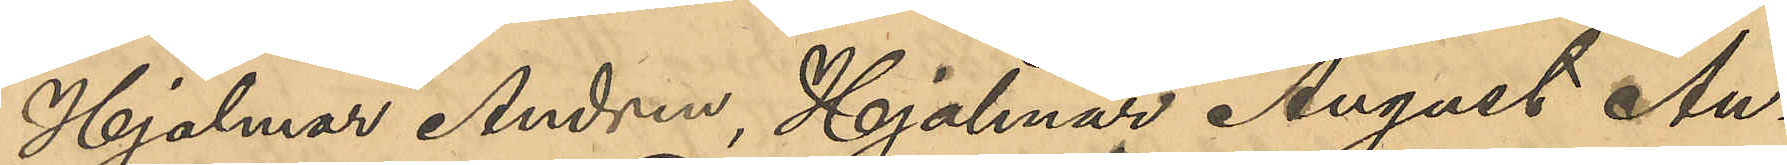Hjalmar Andren, Hjalmar August An¬
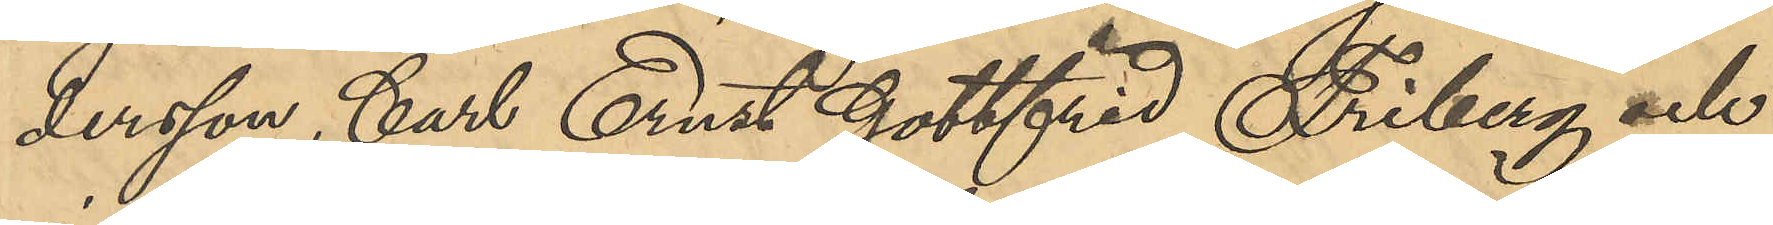dersson, Carl Ernst Gottfrid Friberg och
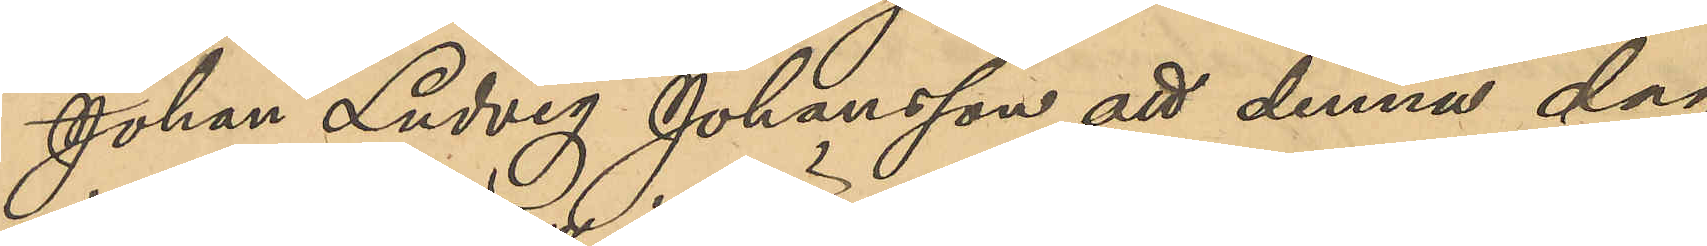Johan Ludvig Johansson att denna dag
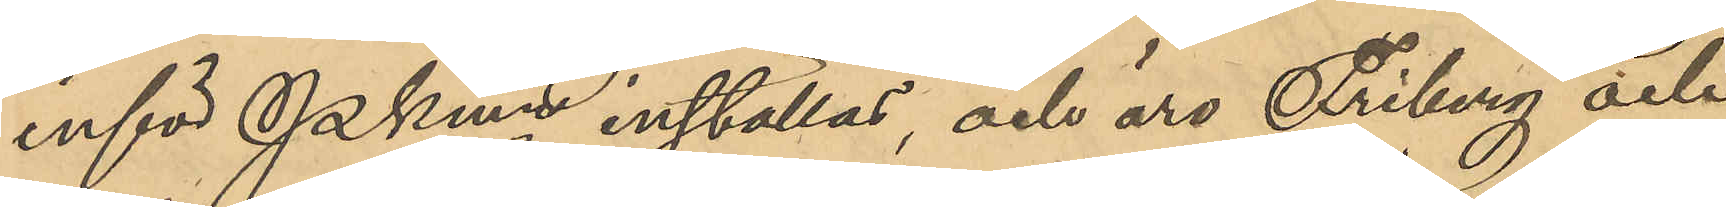inför Pkmn inställas, och äro Friberg och
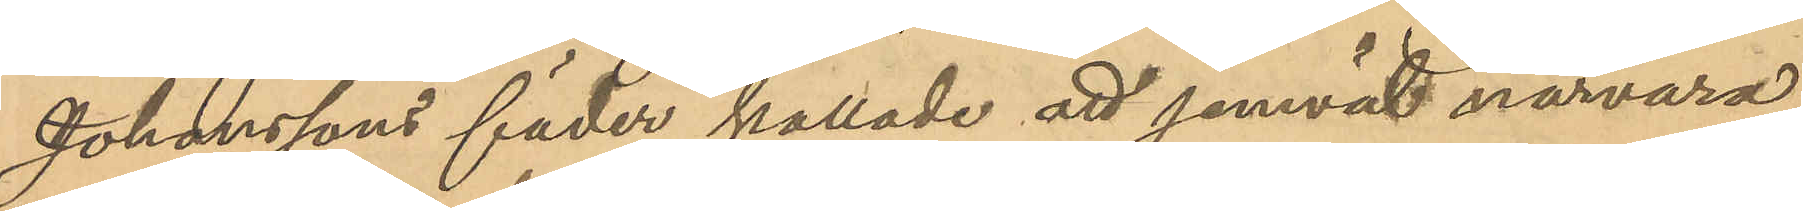Johanssons fäder kallade att jemväl närvara.
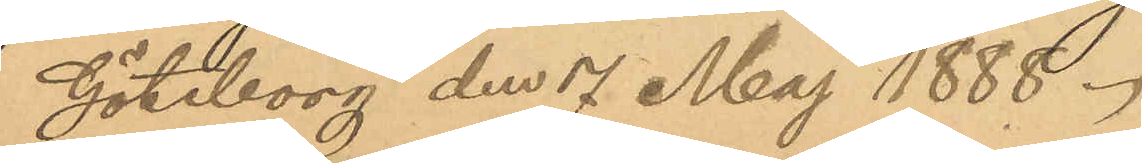Göteborg den 7 Maj 1888.
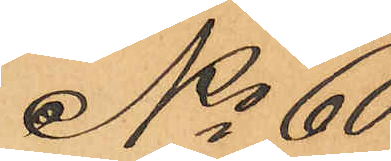No 60
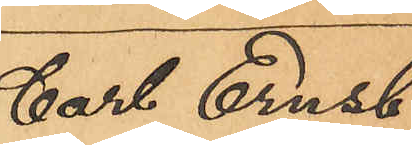Carl Ernst
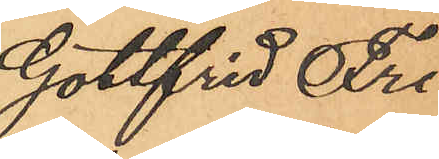Gottfrid Fri¬
